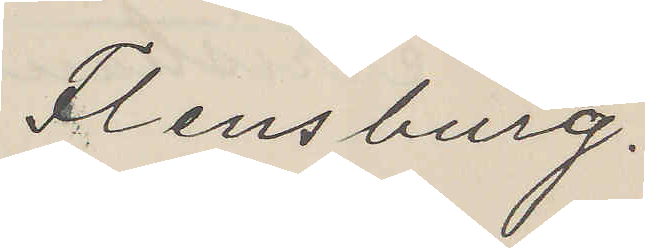Flensburg.
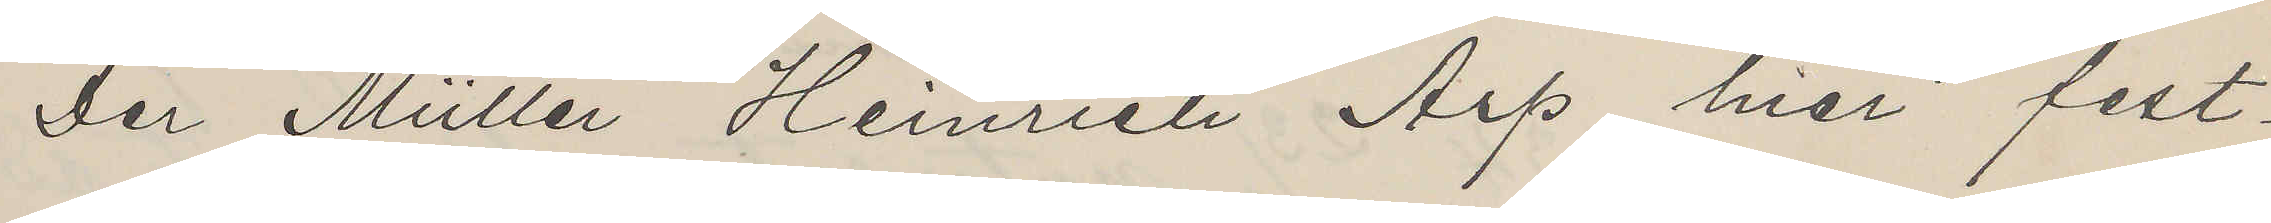Der Müller Heinrich Arp hier fest¬
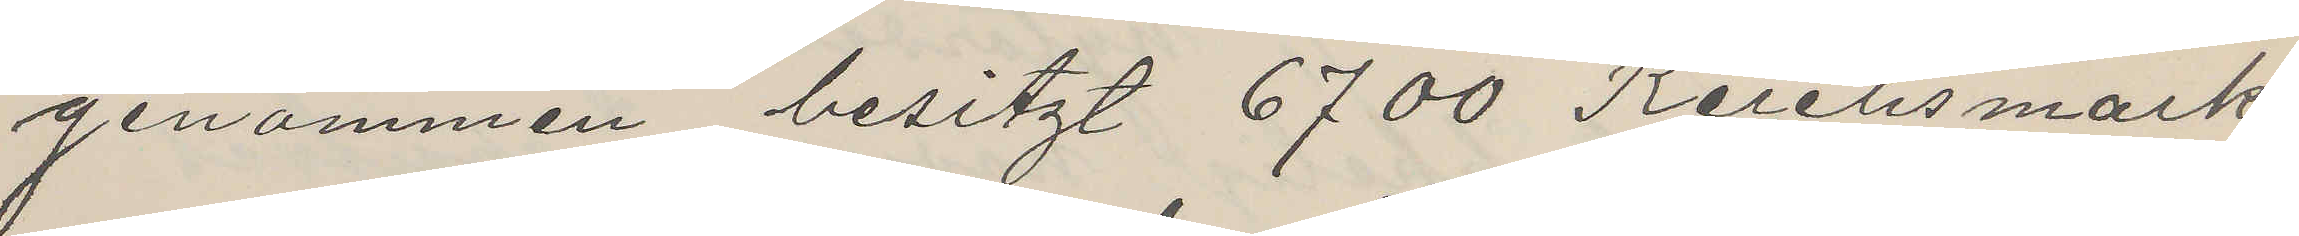genammen, besitzt 6700 Reichsmark
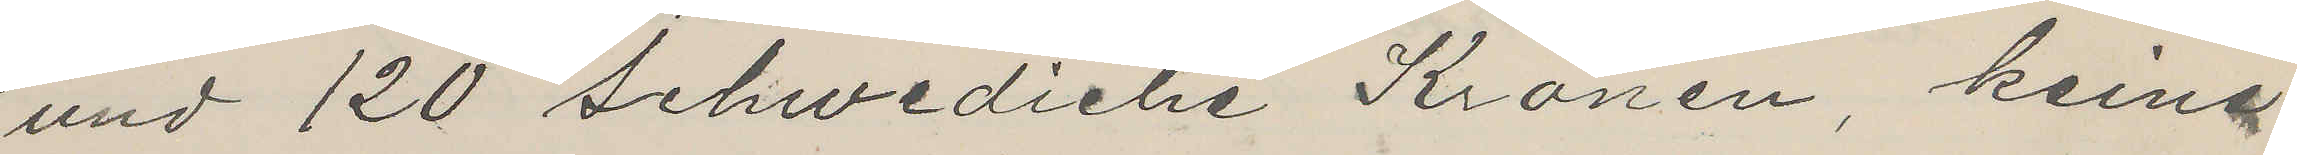und 120 Schwediche Kronen, keine
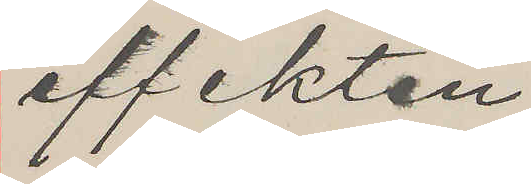effekten
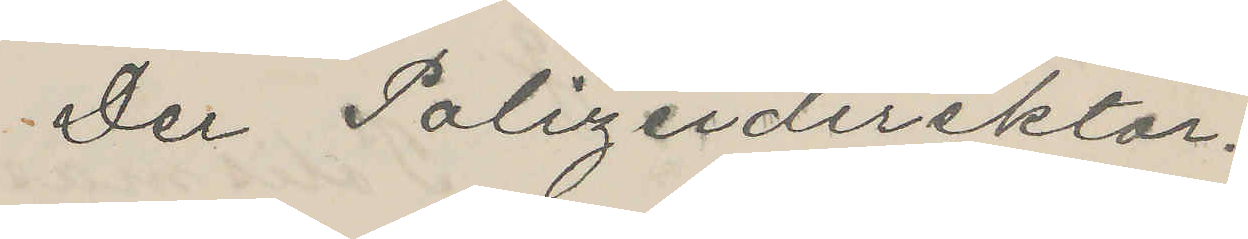Der Polizeidirektor.
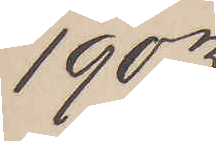1903
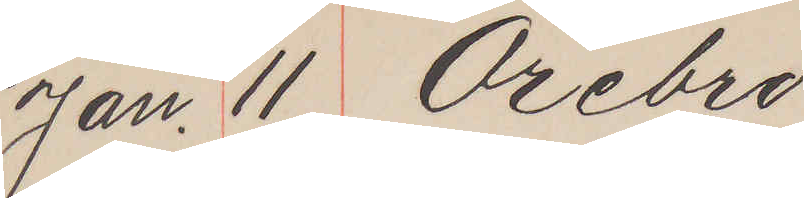Jan. 11 Örebro
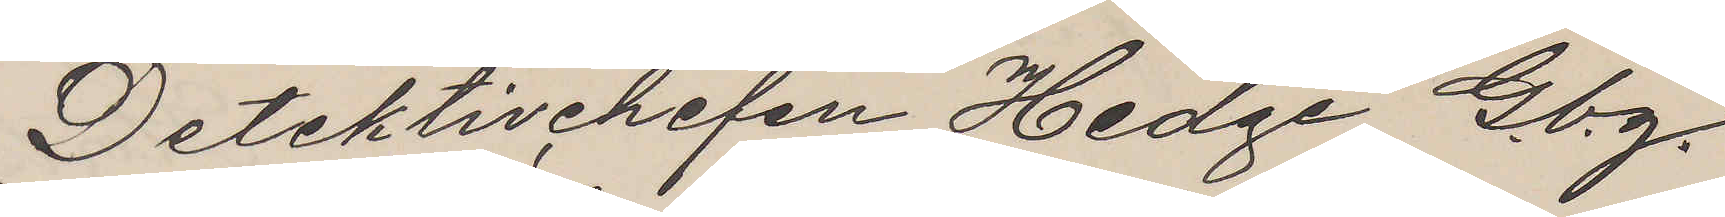Detektivchefen Hedge Gbg.
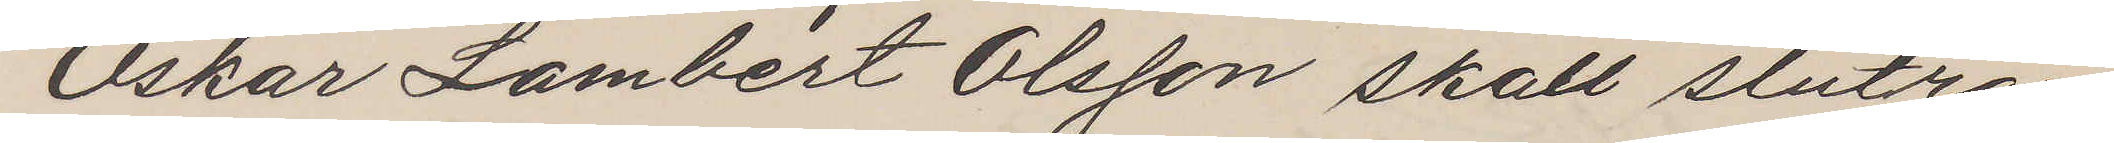Oskar Lambert Olsson skall slutran¬
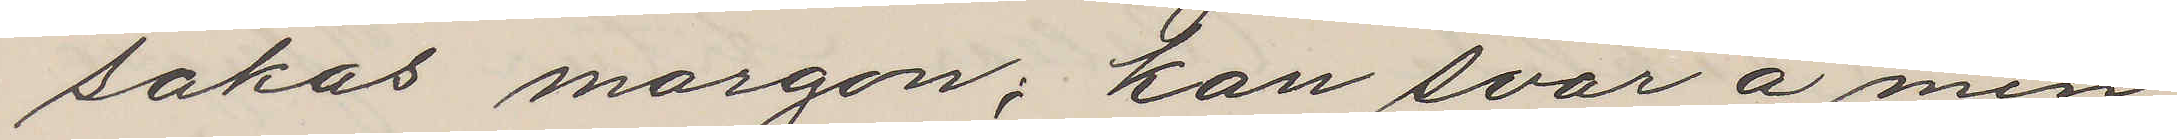sakas morgon; kan svar å min
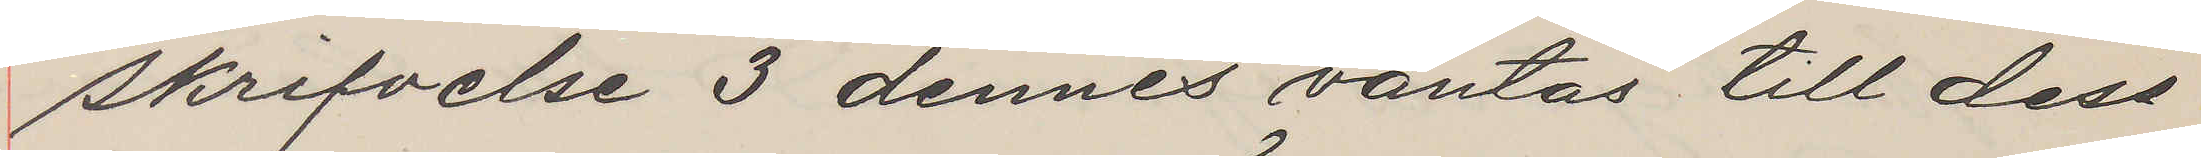skrifvelse 3 dennes väntas till dess
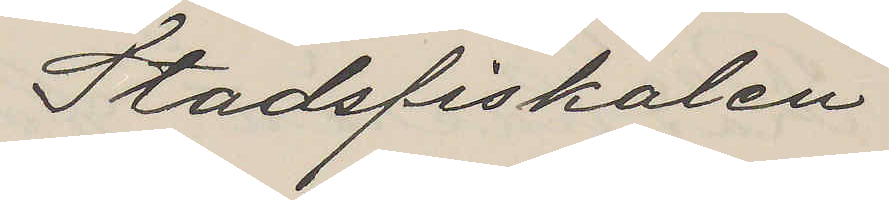Stadsfiskalen
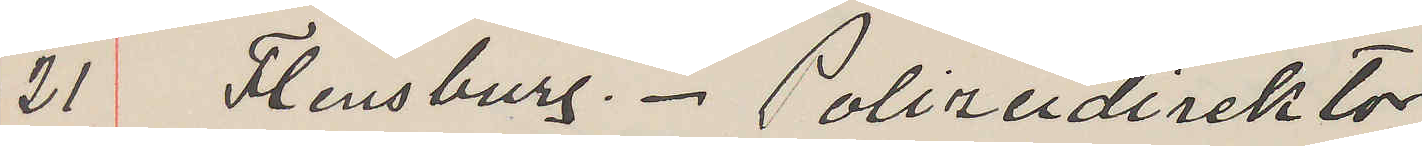21 Flensburg. Polizeidirektor
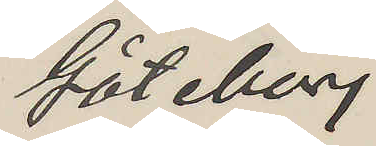Göteborg
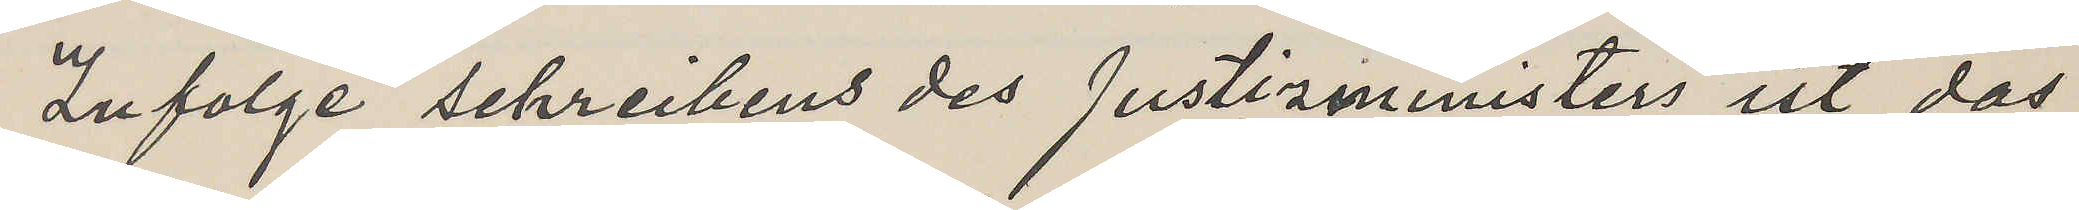Zufolge schreibens des Justiziministers ist das
